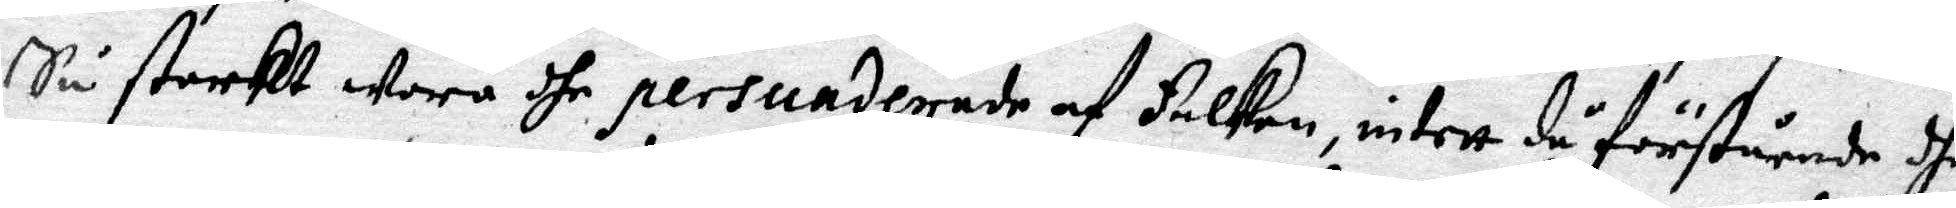Så starkt wore dhe persunderade af Falken, intett då förstående dhe
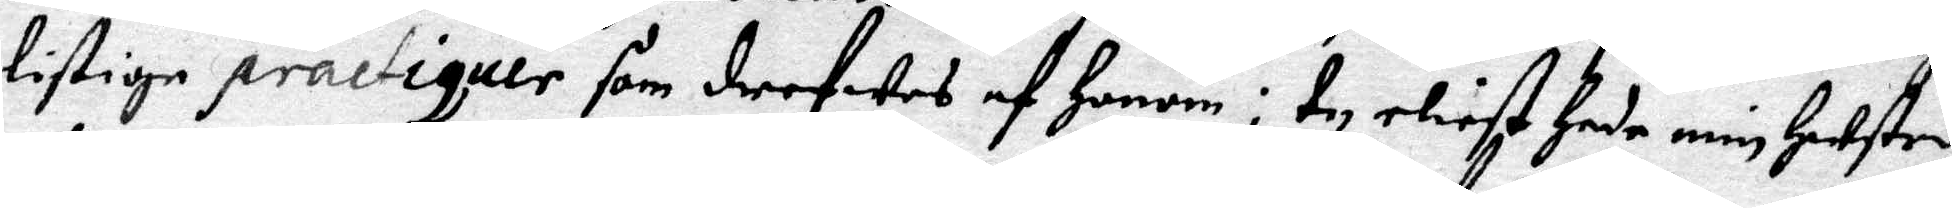listige practiquer som drefwes af Honom: Ty eliest Hade min Hustro
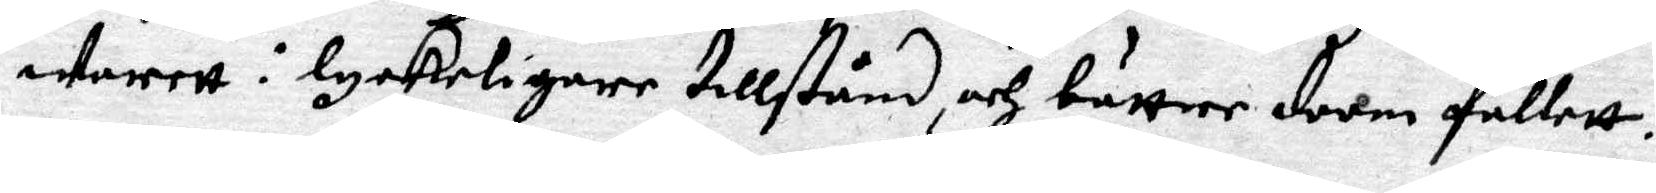warett i lyckeligare tillstånd, och bättre doom falett.
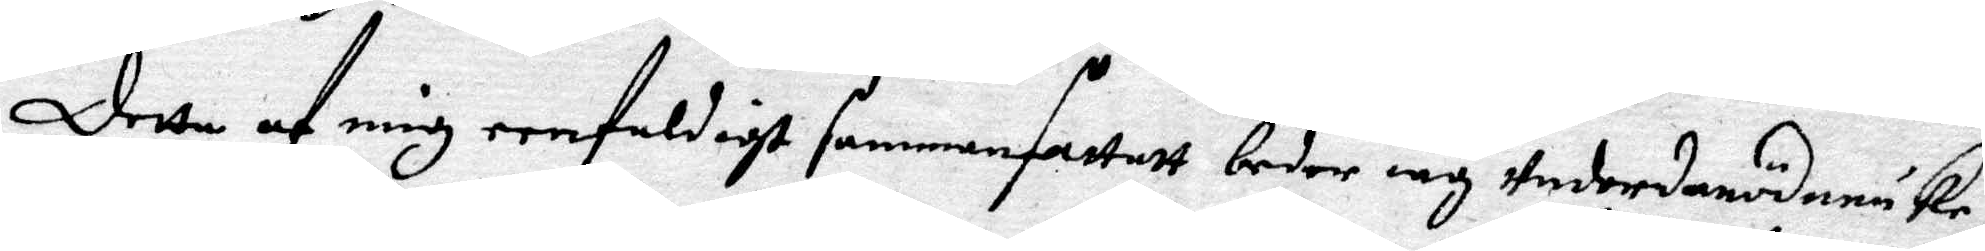Detta af mig eenfaldigt sammanfattatt beder iag underdanödmiuke¬
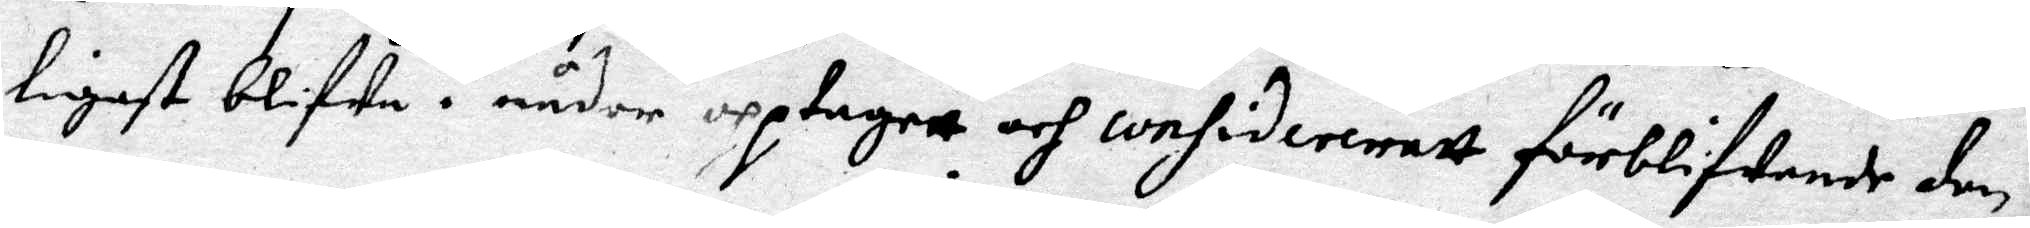ligast blifwa i nåder upptagett och considereratt förblifwande den
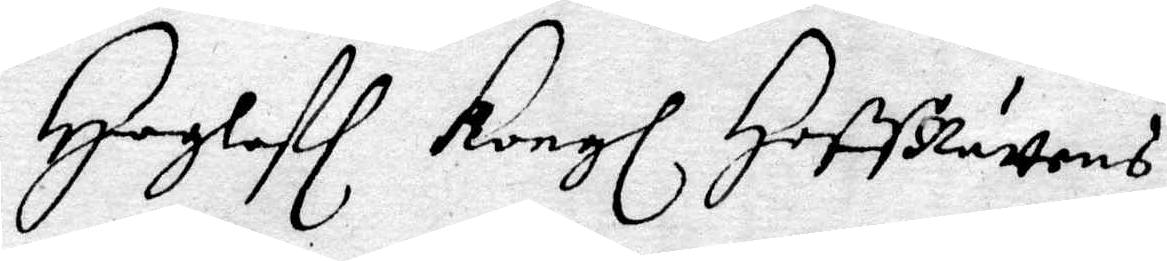Hoglofl Kongl HoffRättens
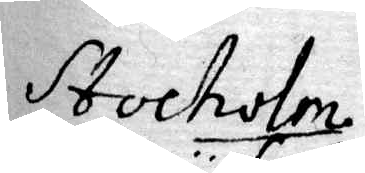Stocholm
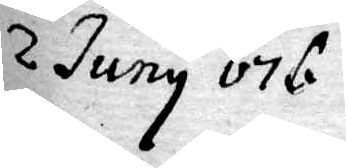2 Juny 676
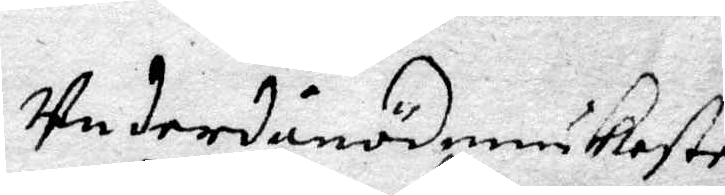underdånödmiukeste
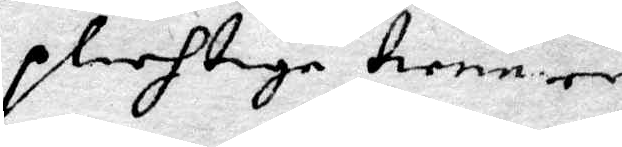plichtige tiener
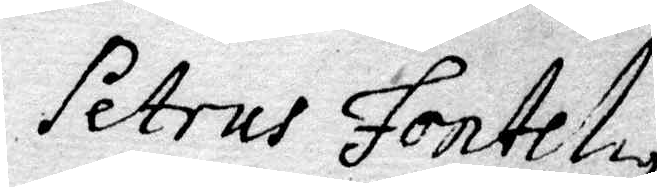Petrus Fontelius
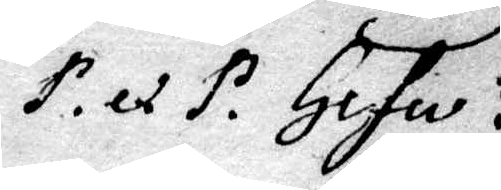P. ex P. Gefle
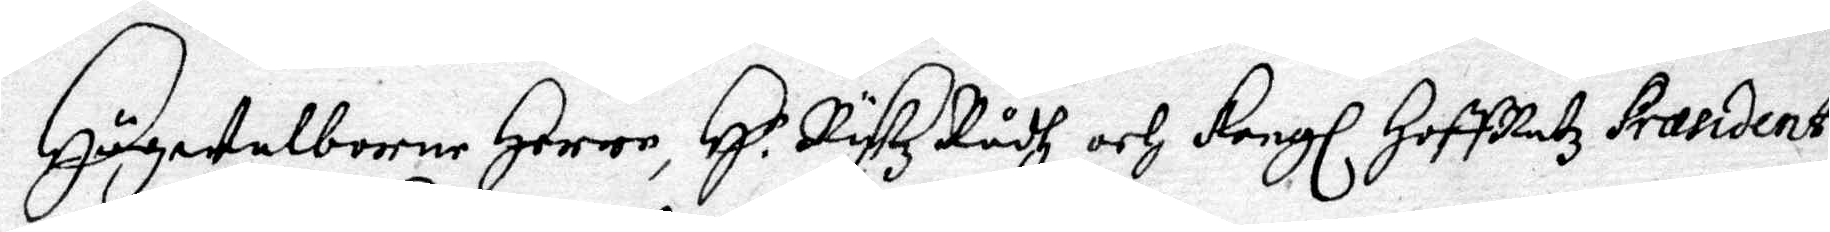Högwelborne Herre, H.r RyksRådh och Kongl HoffRätz Præsident,
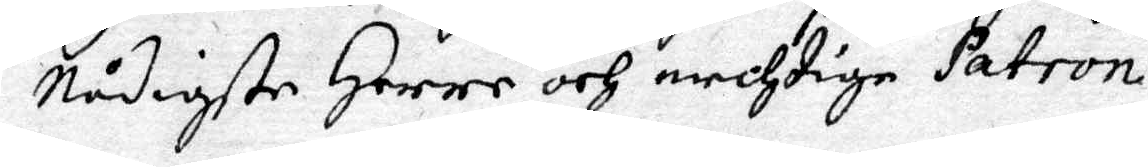Nådigste Herre och mechtige Patron.
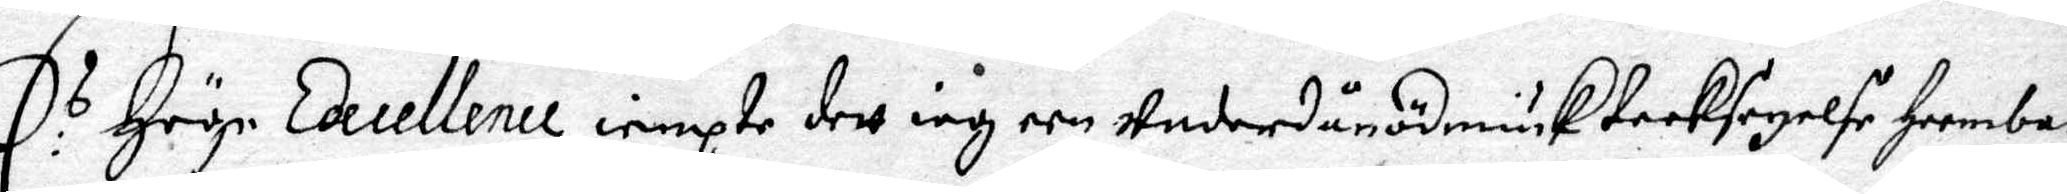E:s Höge Excellence iempte dett iag een underdånodmiuk tacksäyelse Heembär
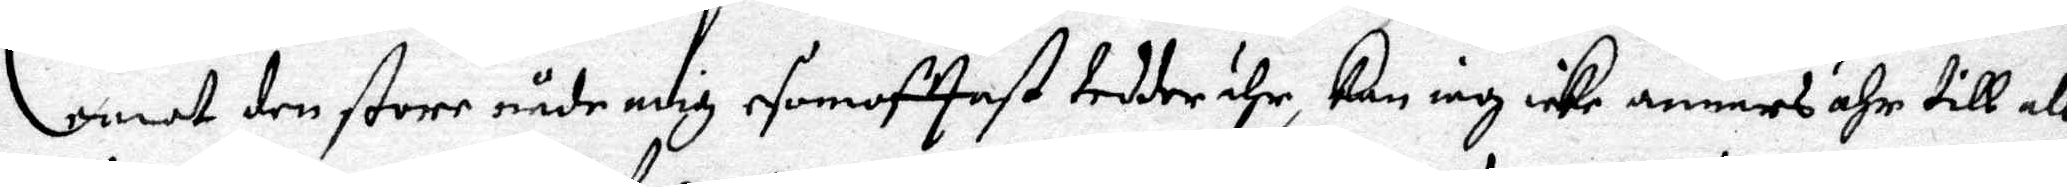emot den store nåde mig esomofttast tedder ähr, kan iag icke anners ähn till all
